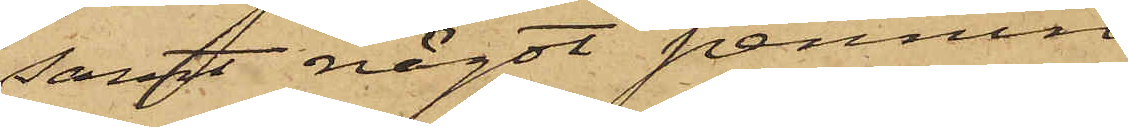samt något pennin¬
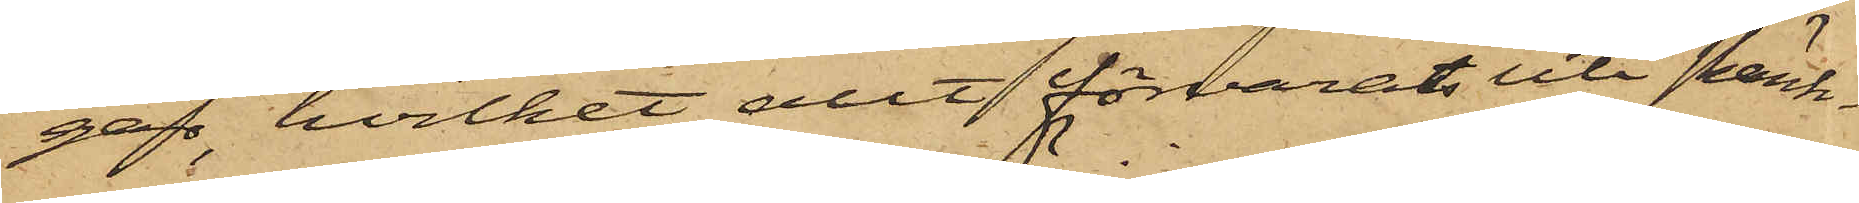gar, hvilket allt förvarats uti skänk¬
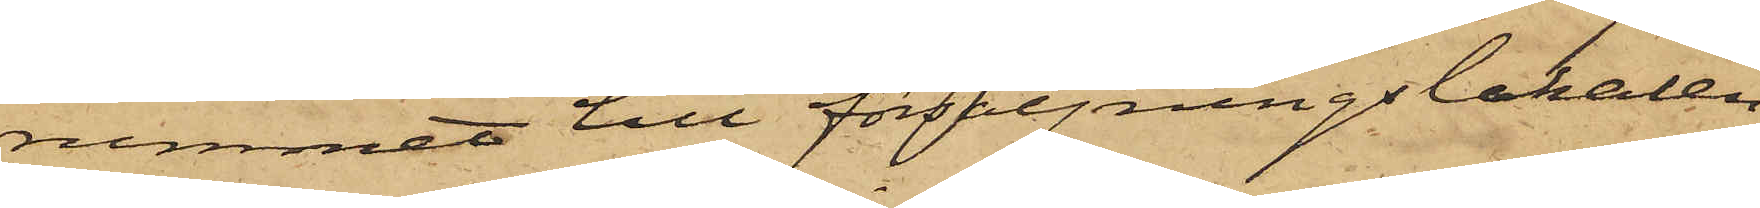rummet till försäljningslokalen,
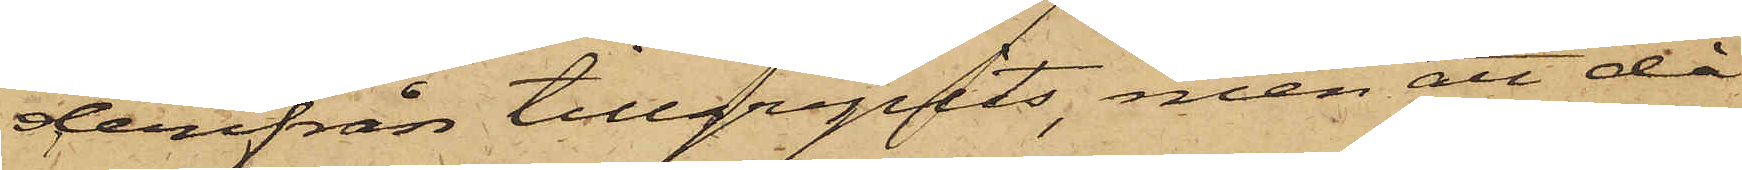derifrån tillgripits, men att då
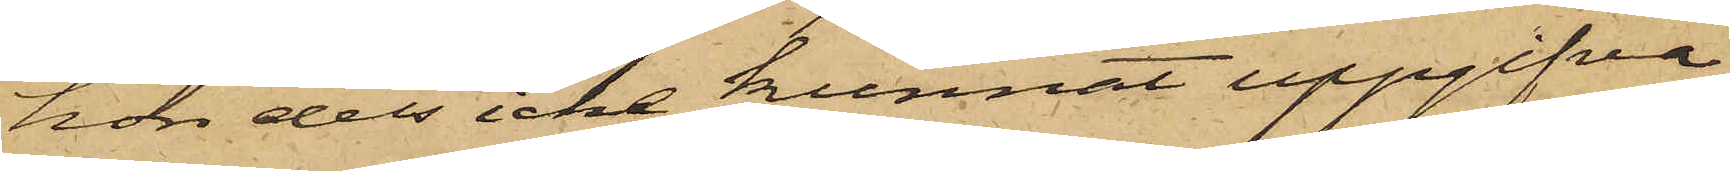hon dels icke kunnat uppgifva
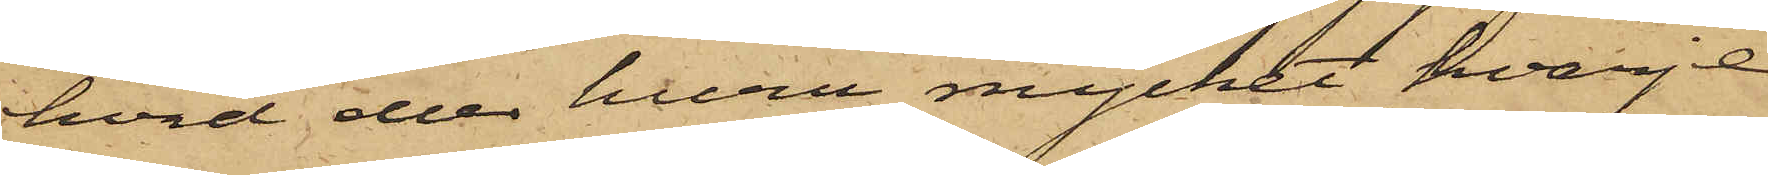hvad eller huru mycket hvarje
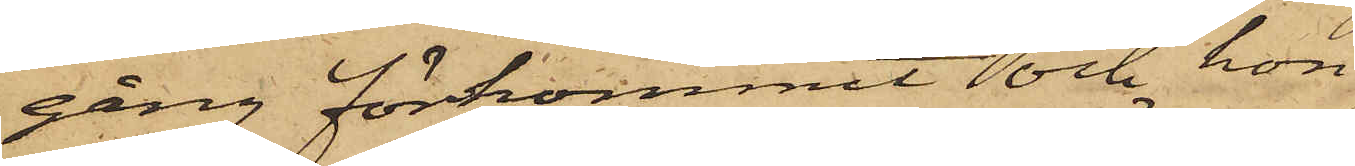gång förkommit och hon
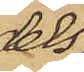dels
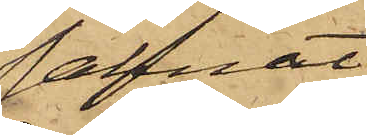saknat
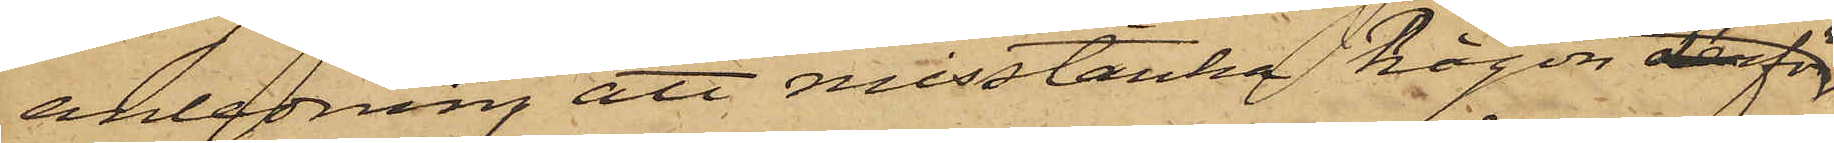anledning att misstänka någon derför
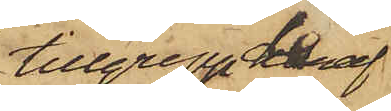tillgrepp deraf
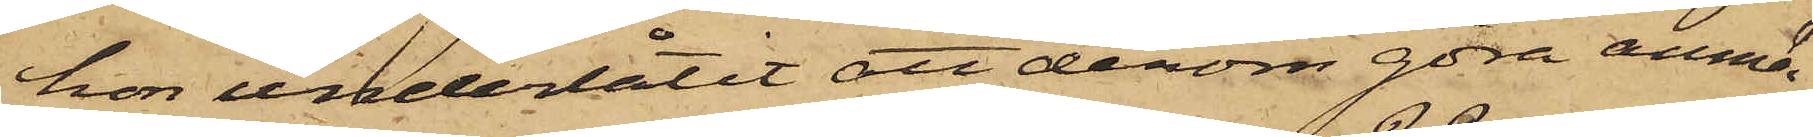hon underlåtit att derom göra anmä¬
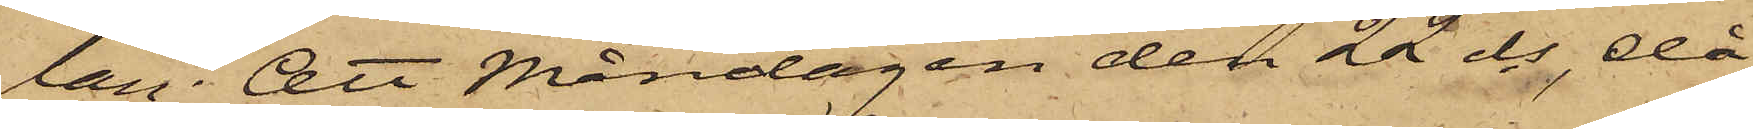lan; att Måndagen den 22 ds, då
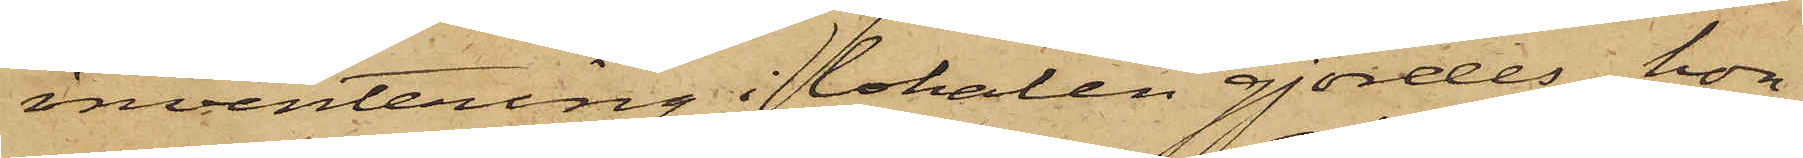inventering i lokalen gjordes; hon
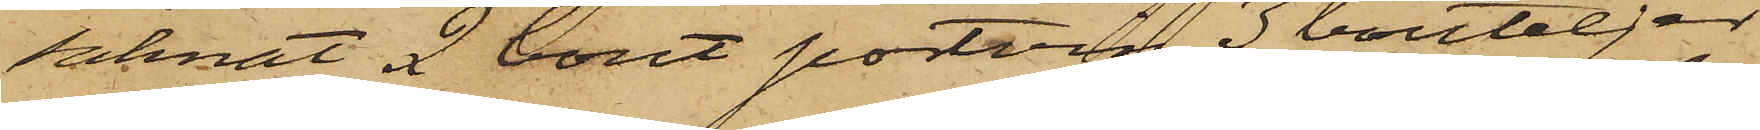saknat 2 bout portvin, 3 bouteljer
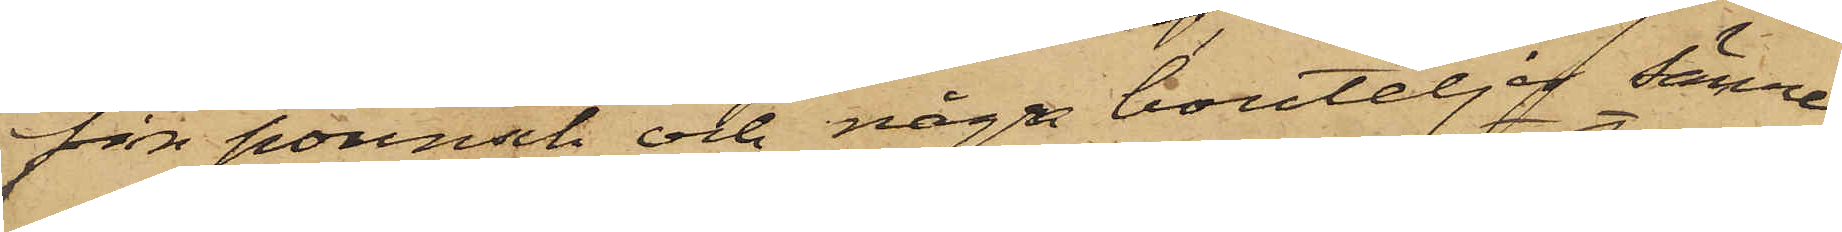fin pounsch och några bouteljer sämre
